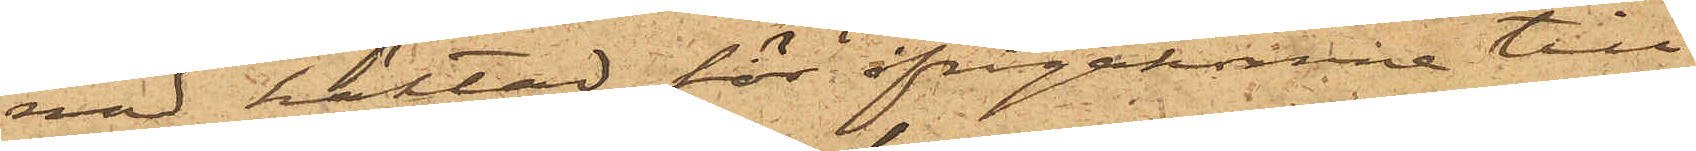nad häktad hör ifrågakomne till¬
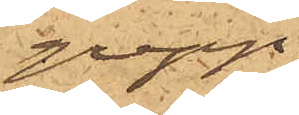grepp,
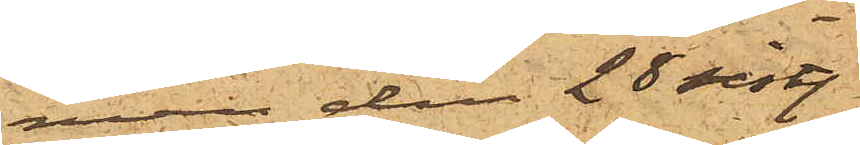men den 28 sist.
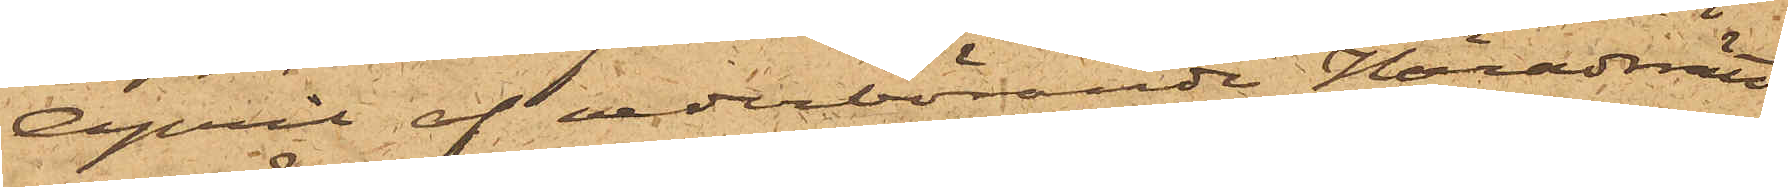April af vederbörande Häradsrätt
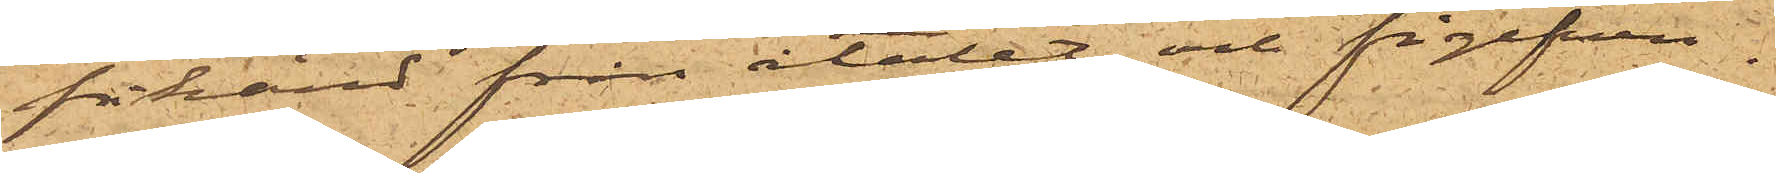frikänd från åtalet och frigifven.
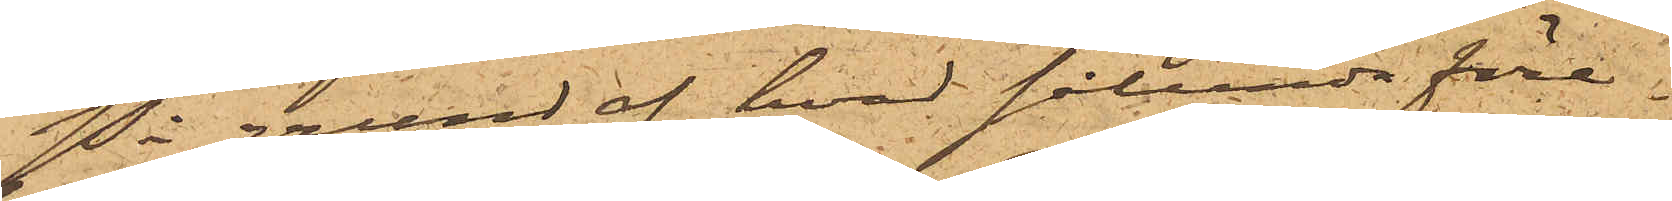På grund af hvad sålunda före¬
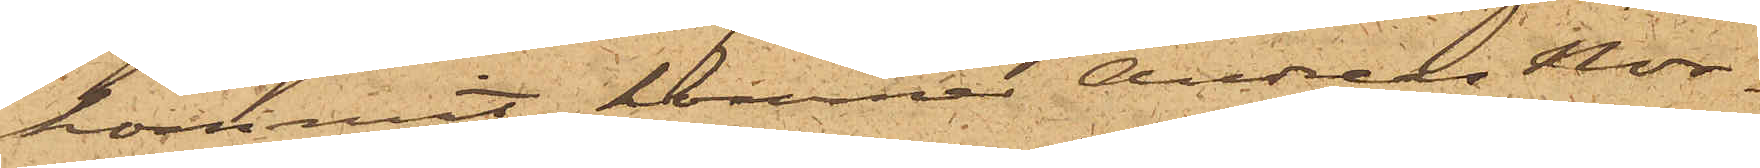kommit, kommer Andreas Nor¬
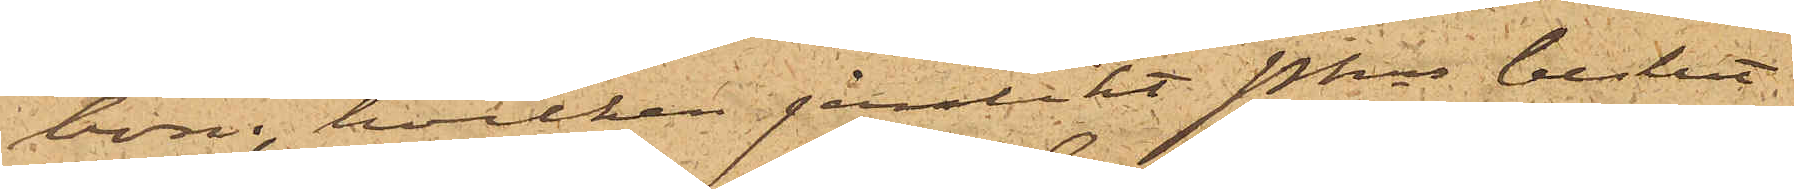bom, hvilken jämlikt Pkns beslut
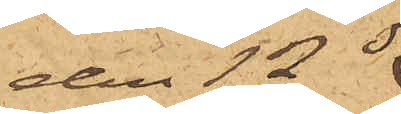den 12 ds
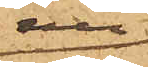nu
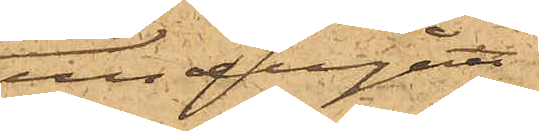undergått
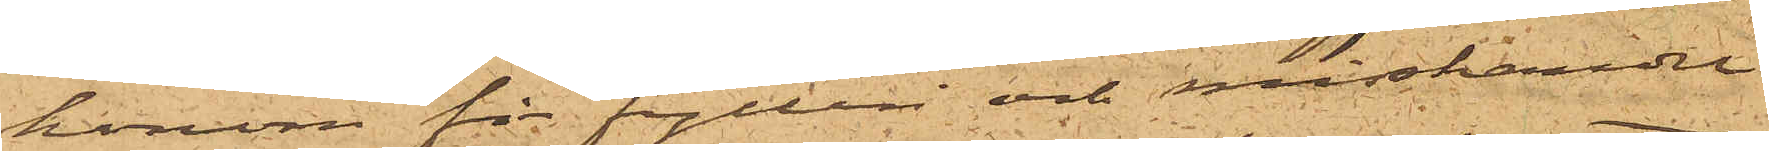honom för fylleri och misshandel
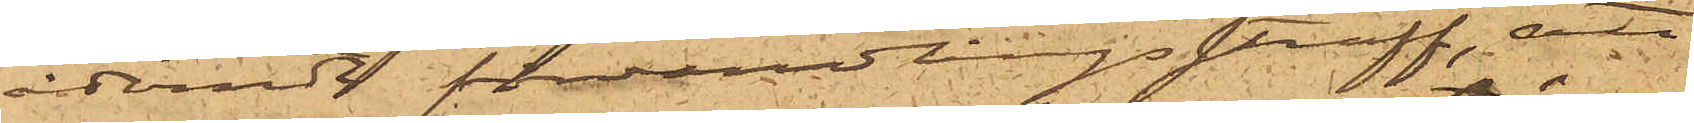ådömt förvandlingsstraff, att
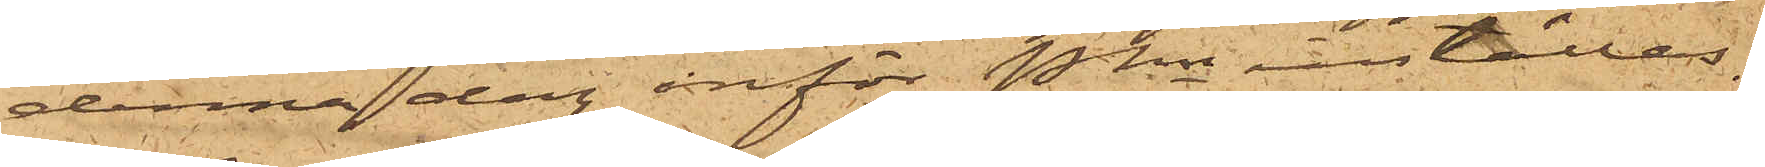denna dag inför Pkn inställas.
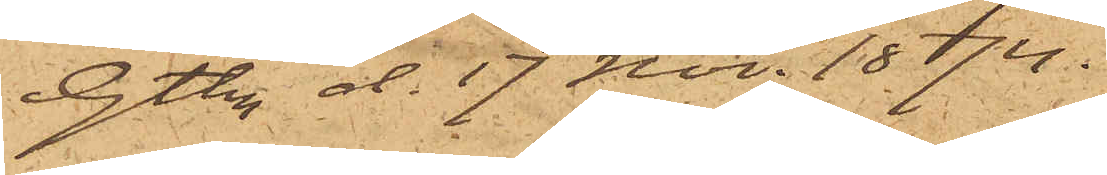Gtbg d. 17 Nov. 1874.
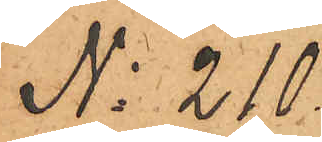No 210
